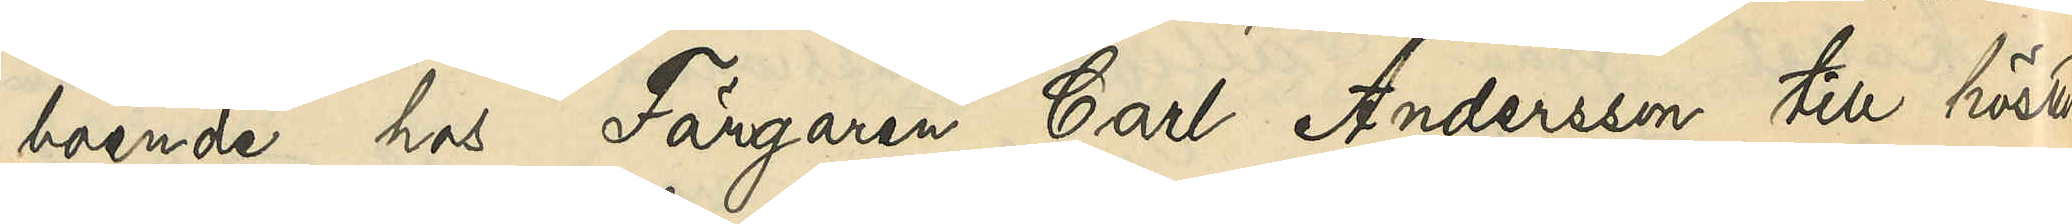boende hos Färgaren Carl Andersson till hösten
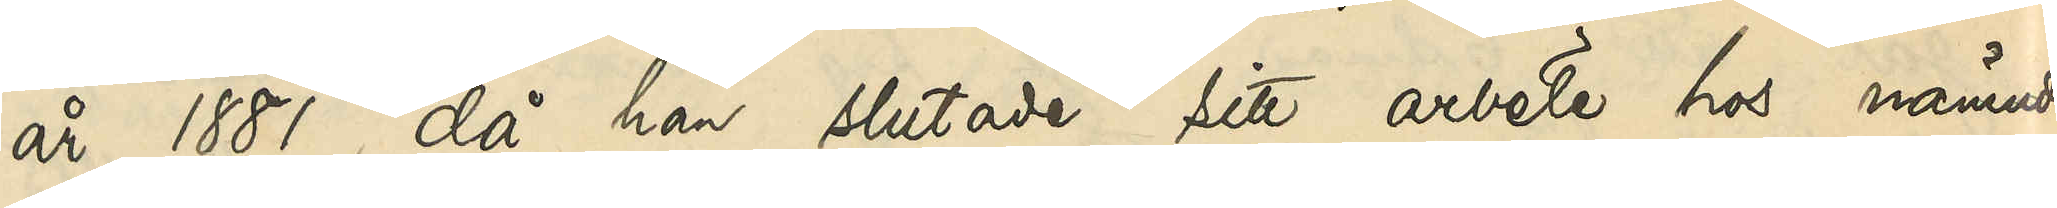år 1881, då han slutade sitt arbete hos nämnda
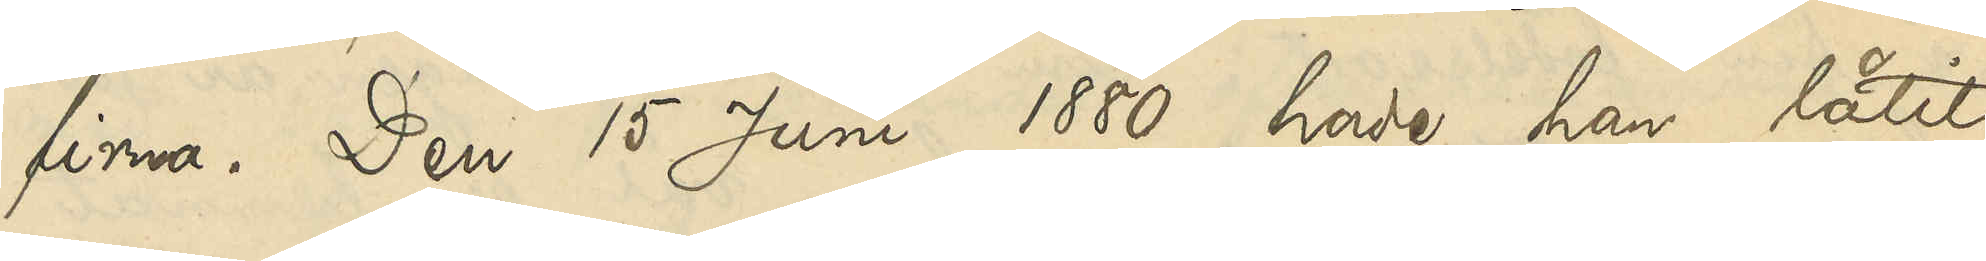firma. Den 15 Juni 1880 hade han låtit
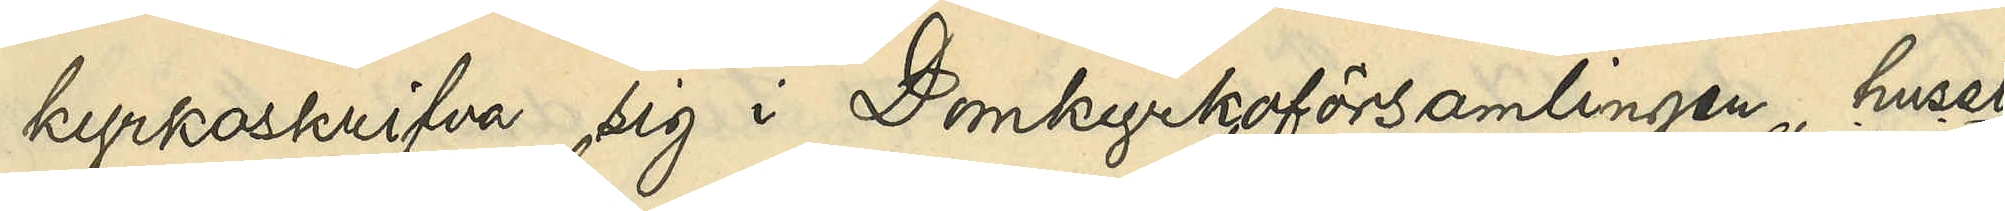kyrkoskrifva sig i Domkyrkoförsamlingen, huset
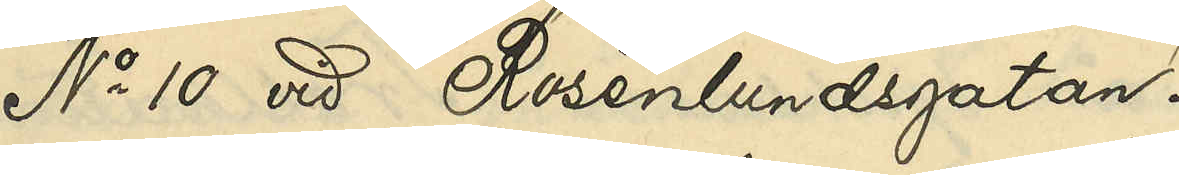No 10 vid Rosenlundsgatan
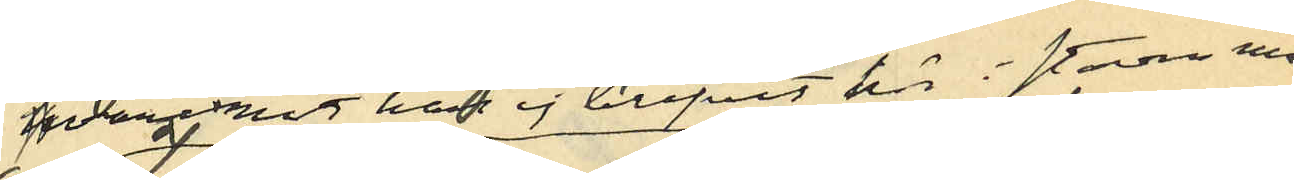hvaremot han ej blifvit här i staden man¬
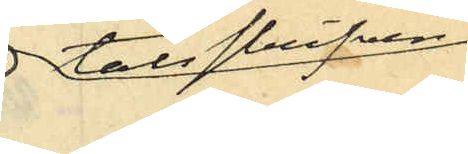talsskrifven.
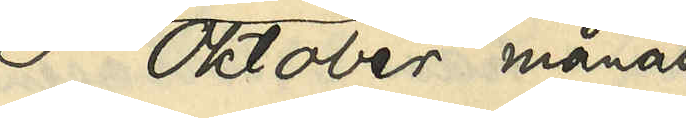I Oktober månad
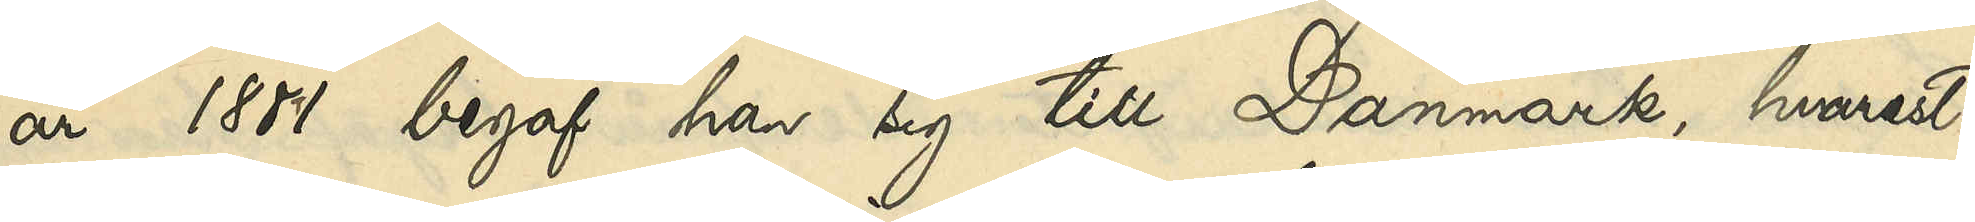år 1881 begaf han sig till Danmark, hvarest
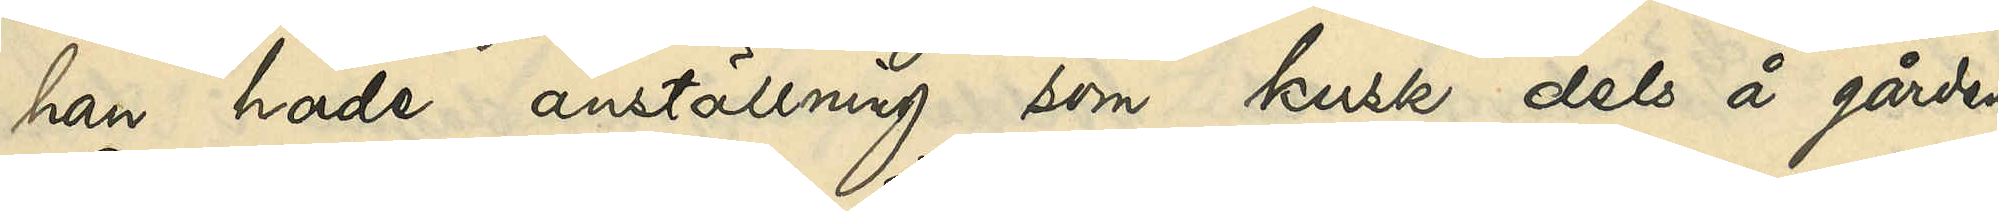han hade anställning som kusk dels å gården
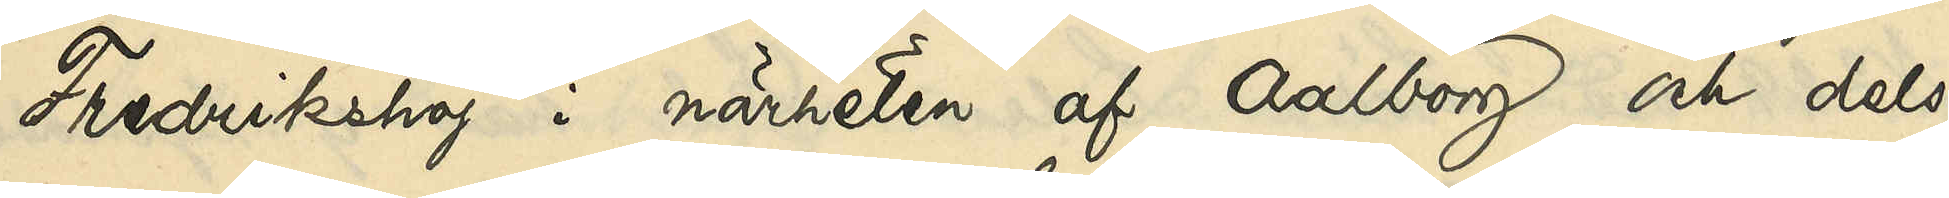Fredrikshöj i närheten af Aalborg och dels
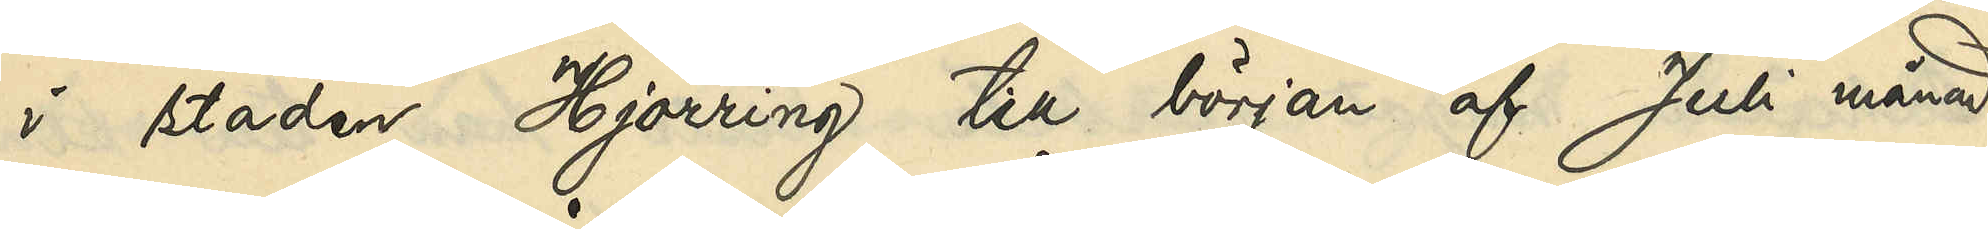i staden Hjörring till början af Juli månad
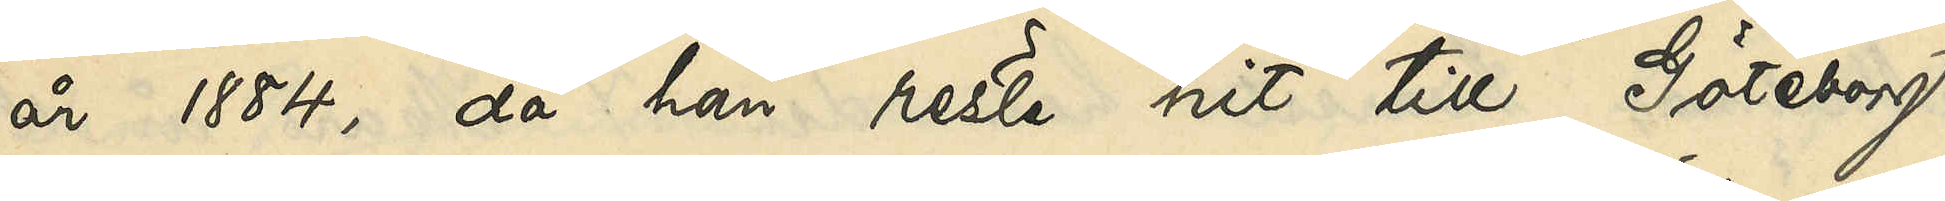år 1884, då han reste hit till Göteborg
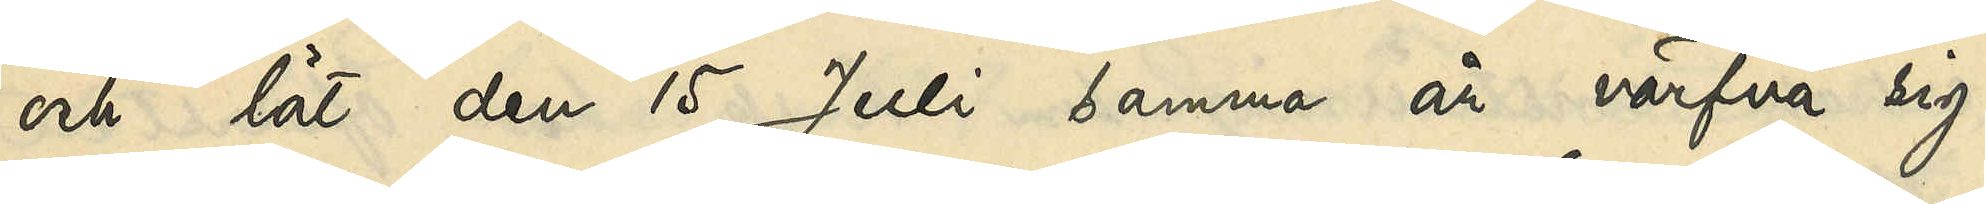och lät den 15 Juli samma år värfva sig
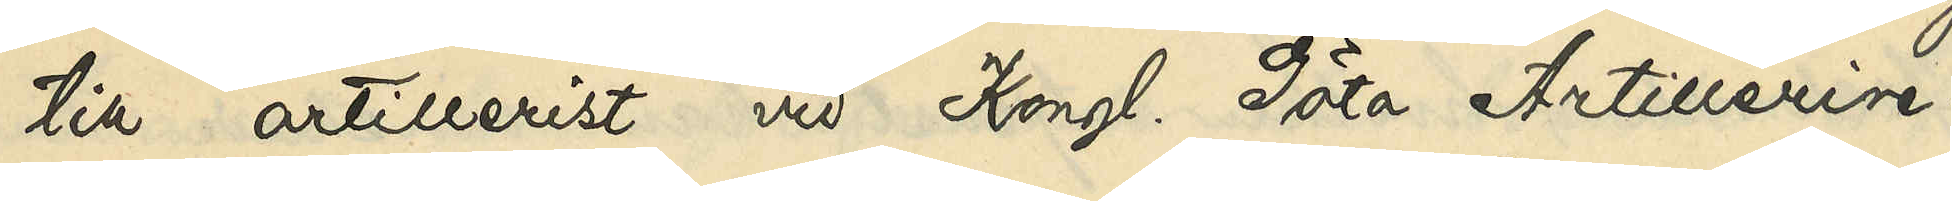till artillerist vid Kongl Göta Artillerire¬
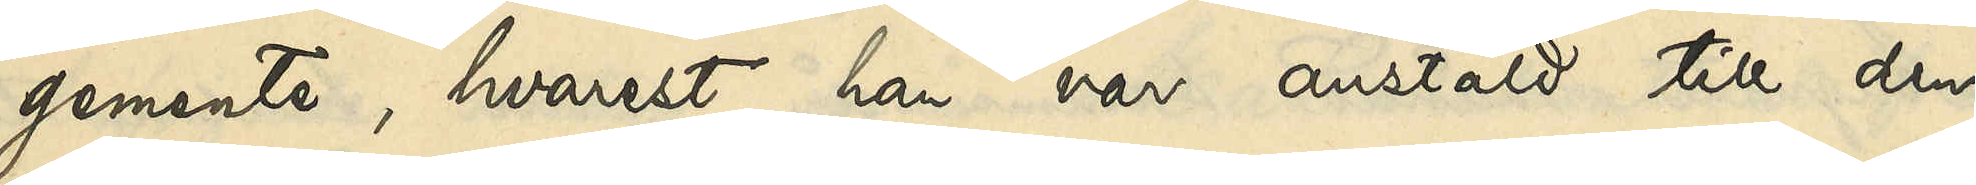gemente, hvarest han var anstäld till den
